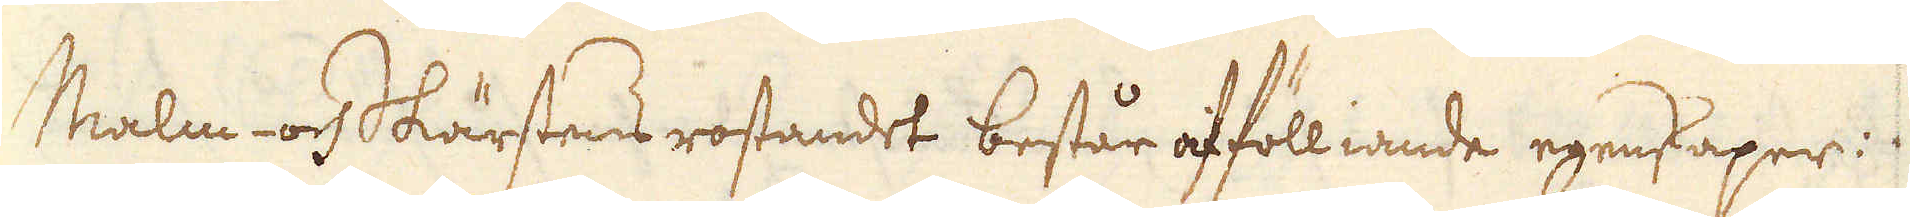Malm- och Skärstens rostandet består af fölliande egenskaper:
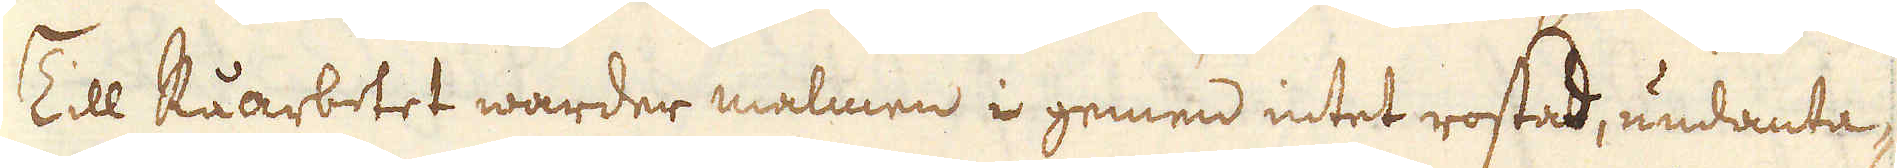Till Råarbetet warder malmen i gemen intet rostad, undanta-
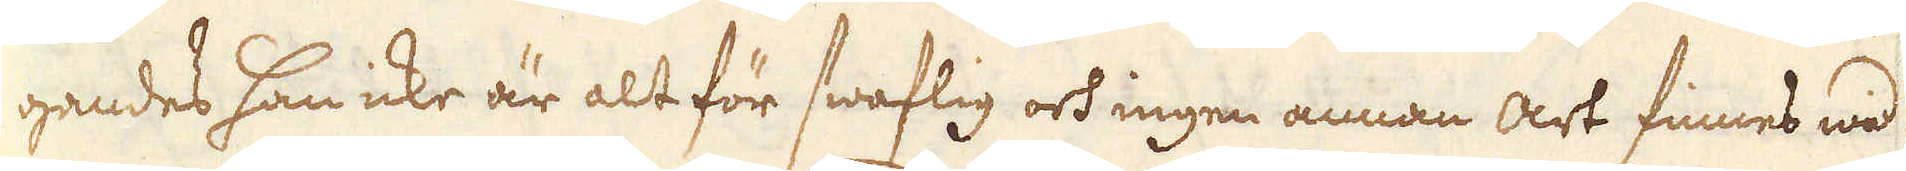gandes han icke är alt för swaflig och ingen annan art finnes wid
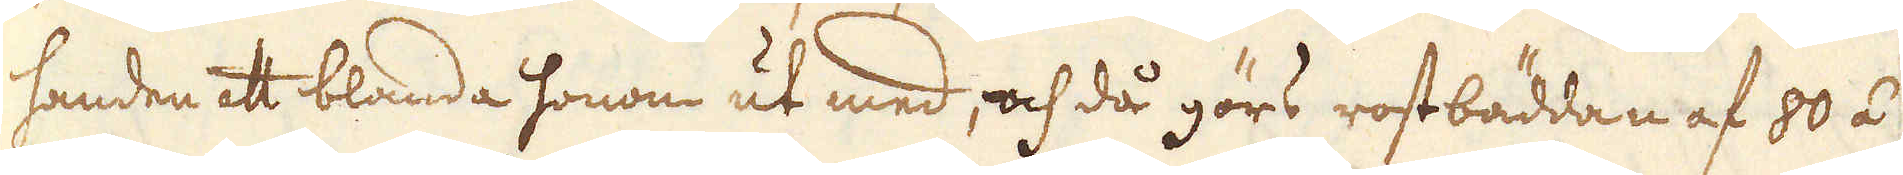handen ett blanda honom ut med, och då görs rostbäddan af 80 á
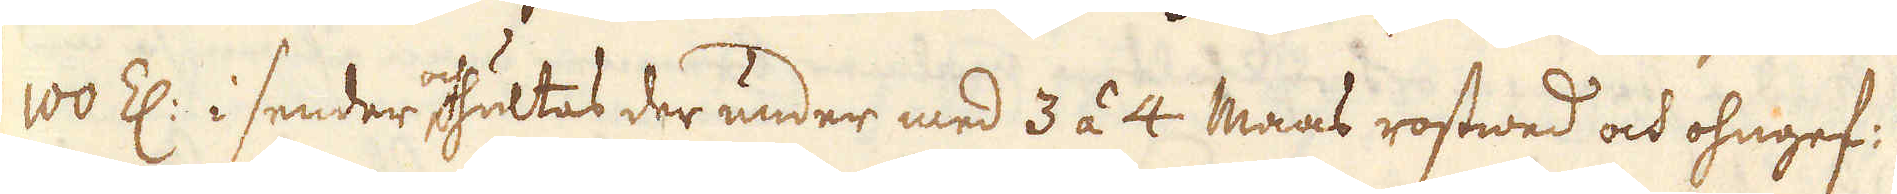100 Z: i sender och hultas der under med 3 á 4 Maas rostwed och ohngef:
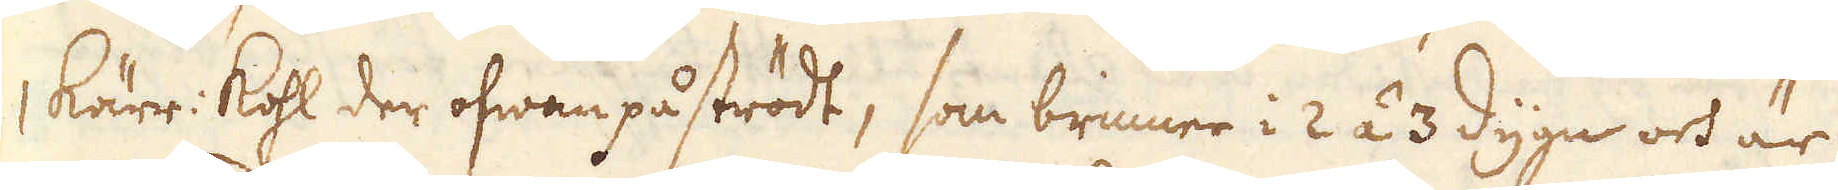1 kärr: kohl der ofwan på strödt, som brinner i 2 á 3 dygn och är
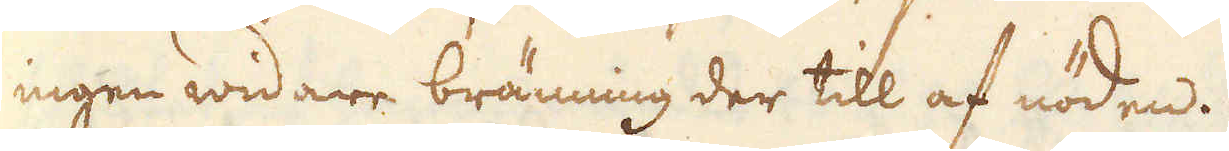ingen widare bränning der till af nöden.
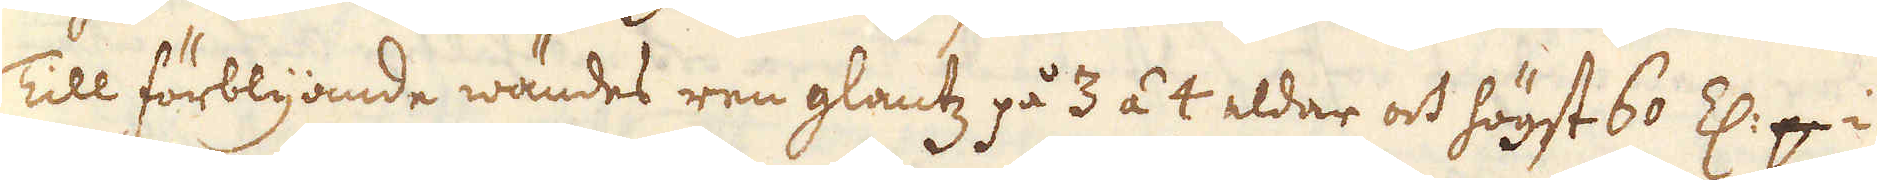Till förblyande wändes ren glantz på 3 á 4 eldar och högst 60 Z: p i
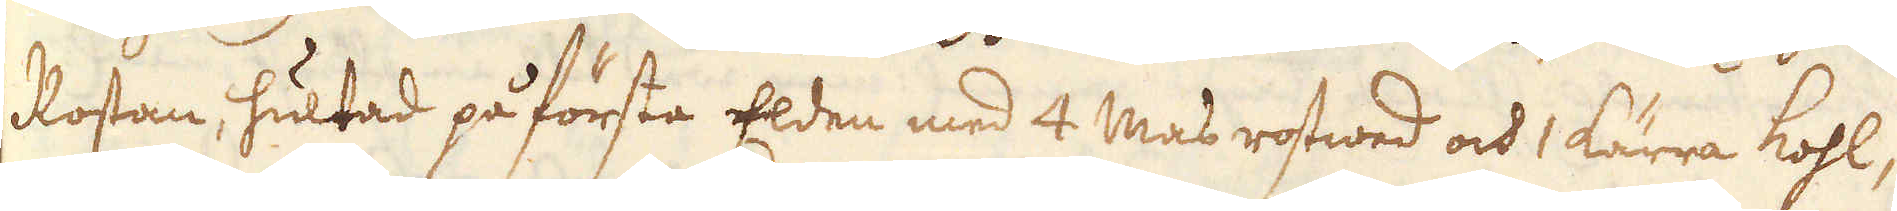Rostan, hultad på första Elden med 4 Mas rostwed och 1 kärra kohl,
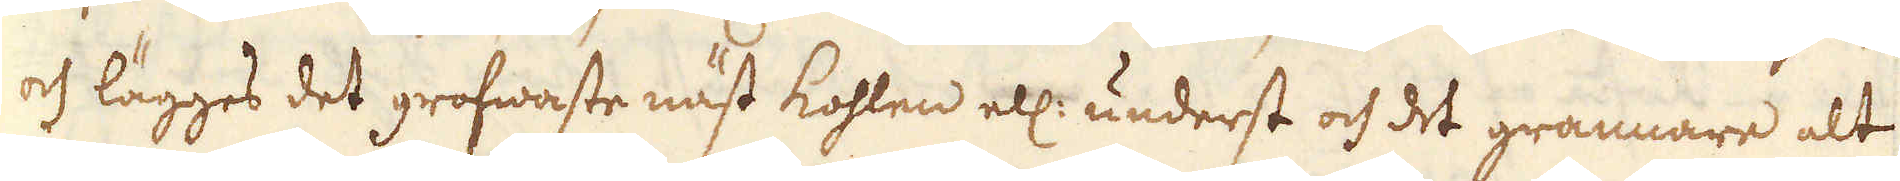och lägges det grofwaste näst kohlen ell: underst och det grannare alt
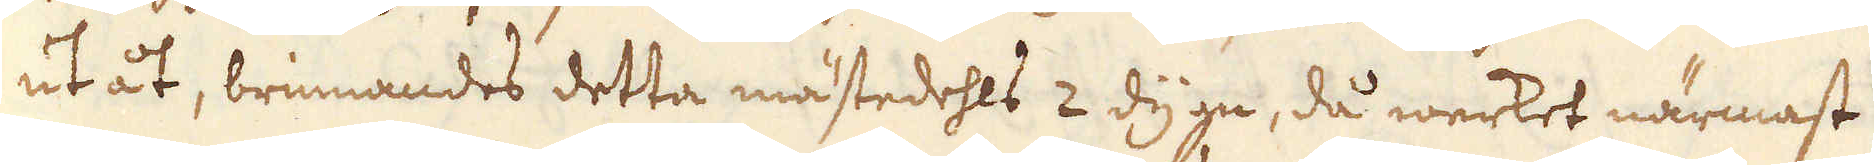ut åt, brinnandes detta mästedehls 2 dygn, då werket närmast
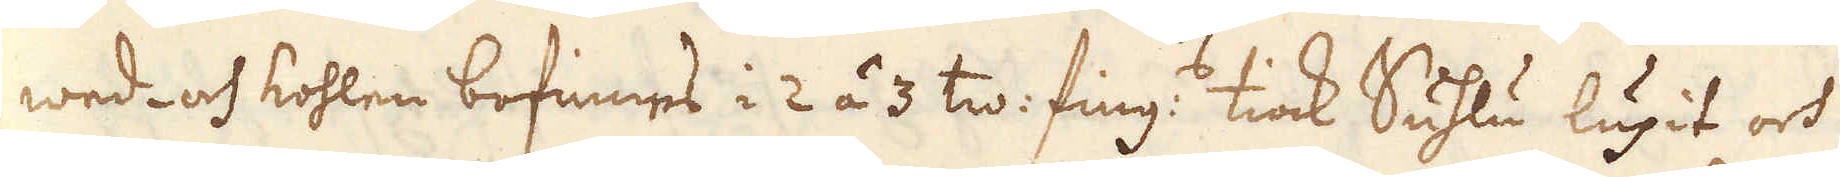wed- och kohlen befinnes i 2 á 3 tw: fing:s tiock Suhlu lupit och
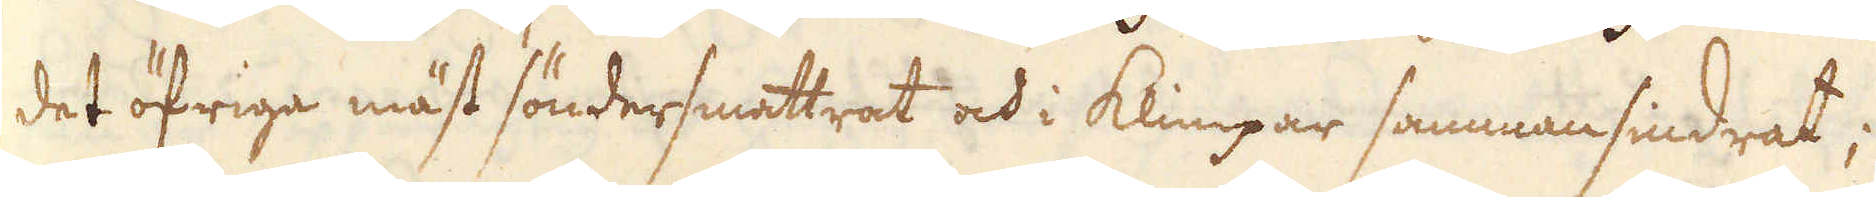det öfriga mäst söndersmattrat och i klimpar sammansindrat;
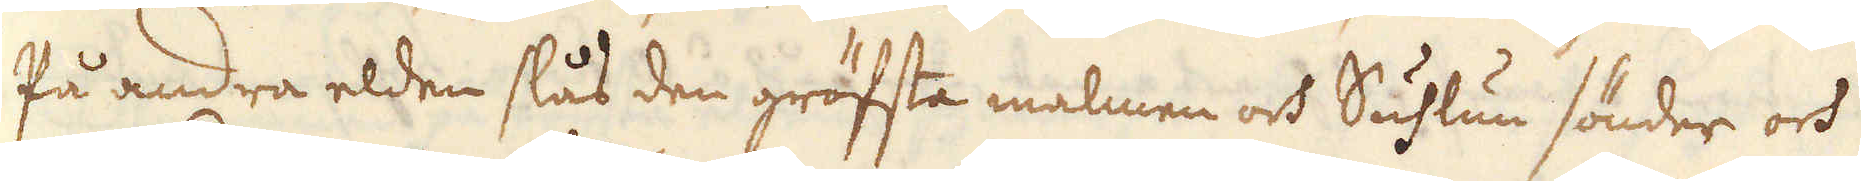På andra elden slås den gröfsta malmen och Suhlun sönder och
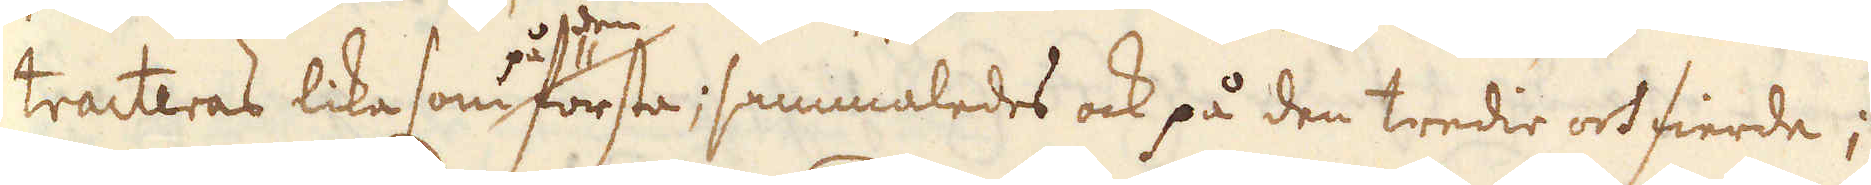tracteras lika som på den första; sammaledes ock på den tredie och fierde;
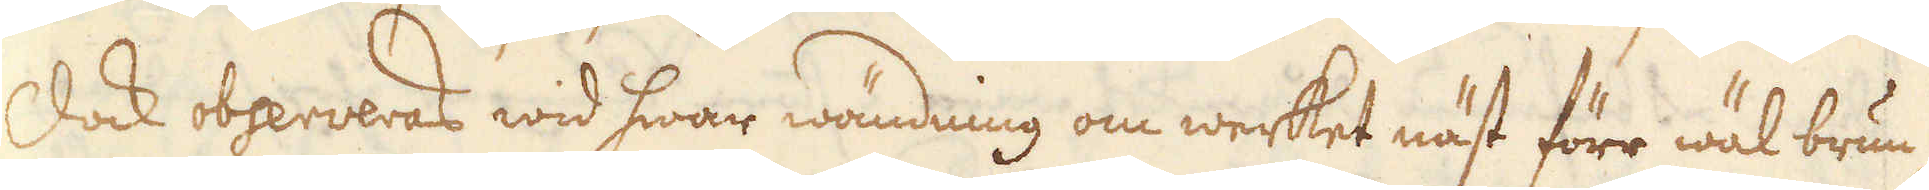Dock observeras wid hwar wändning om werket näst före wäl brun-
